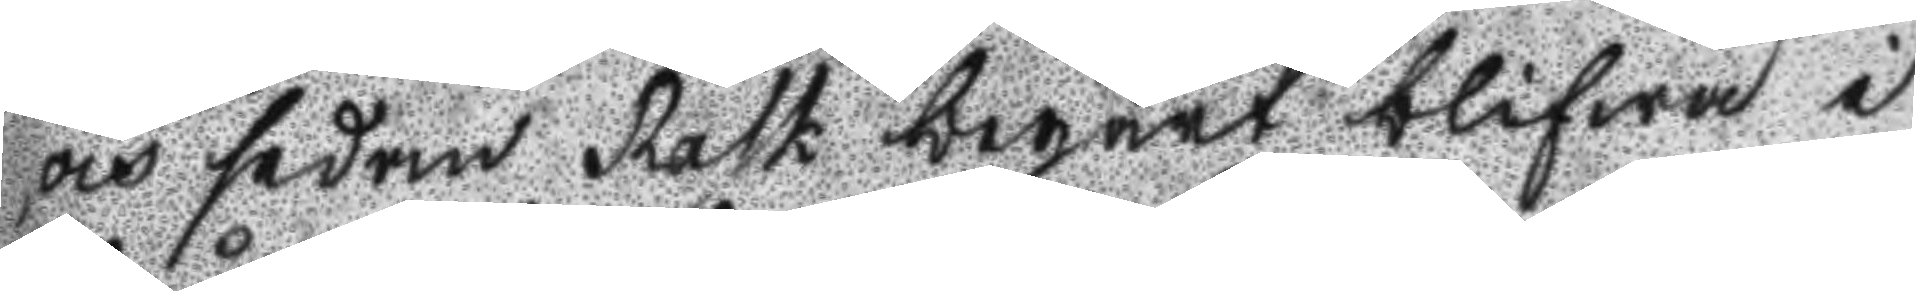och sedan Rask begärt blifwa i
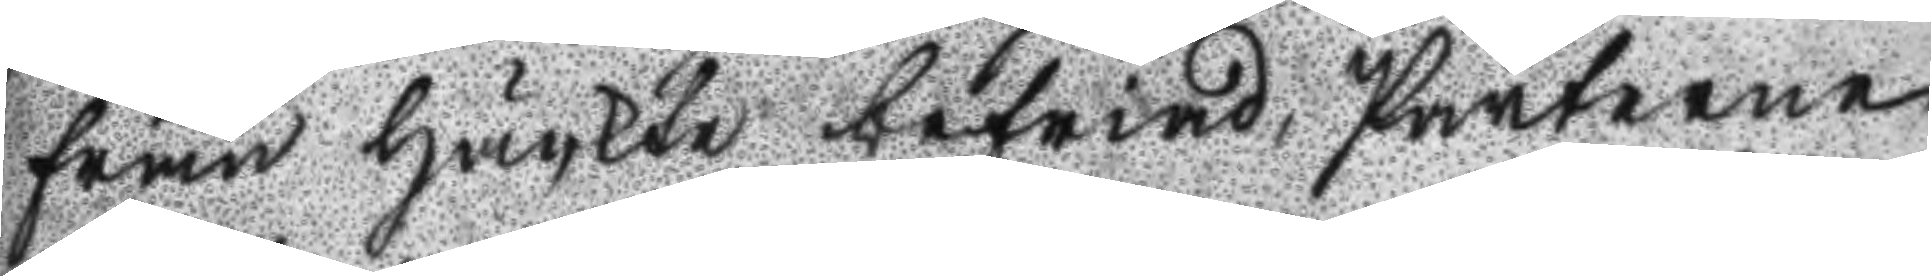från Häckte befriad, Parterne
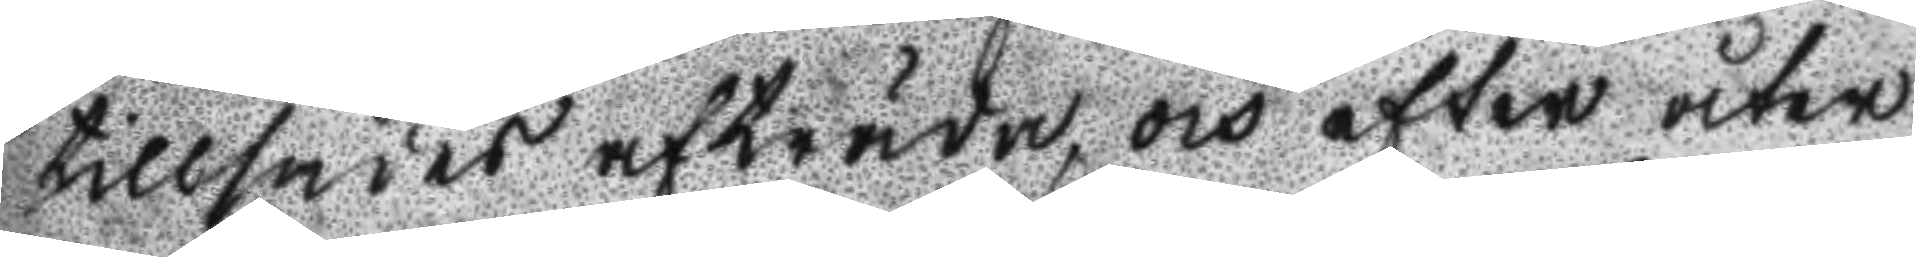tillsades afträda, och efter åter
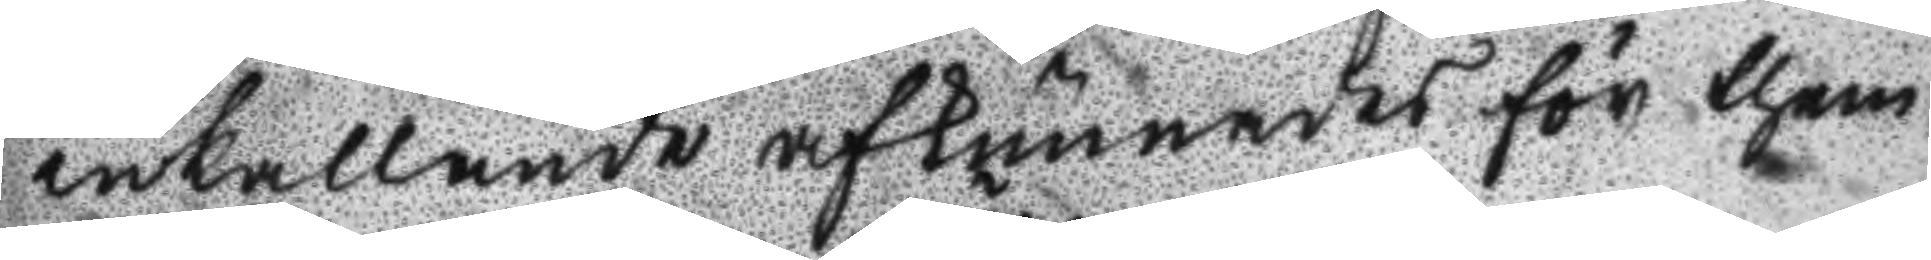inkallande afkunnades för them
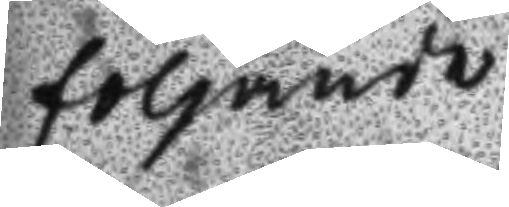följande
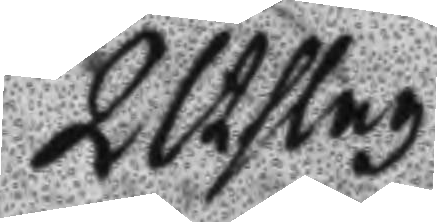Utslag
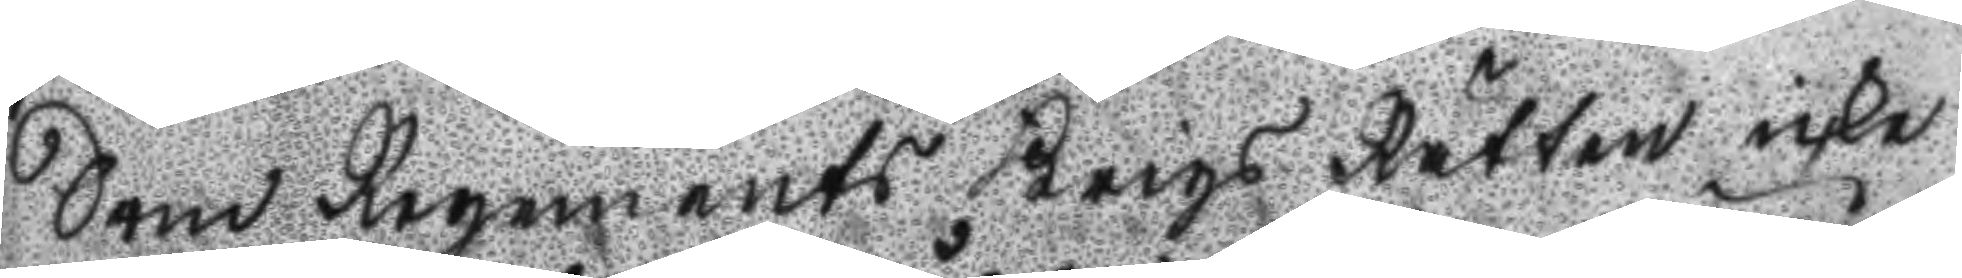Som Regements Krigs Rätten icke
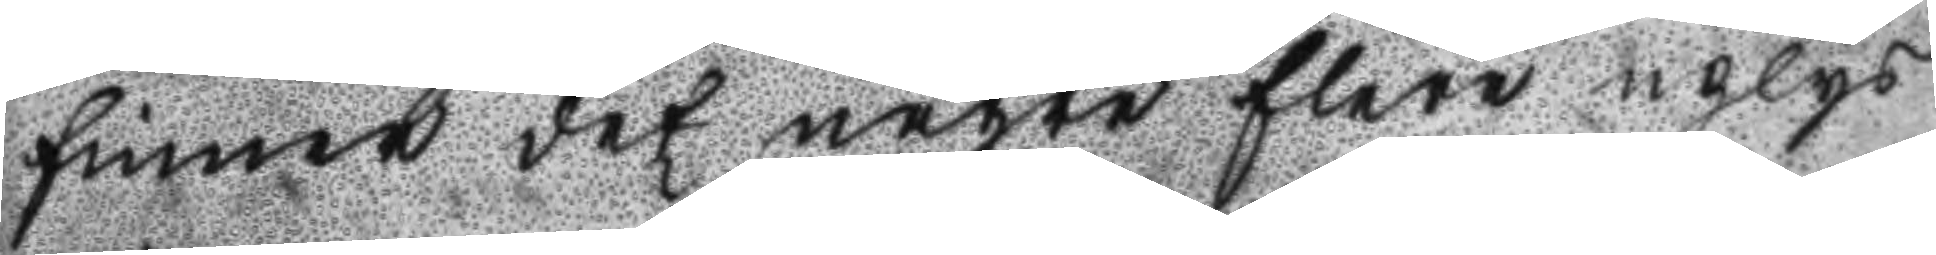finner det någre flere uplys
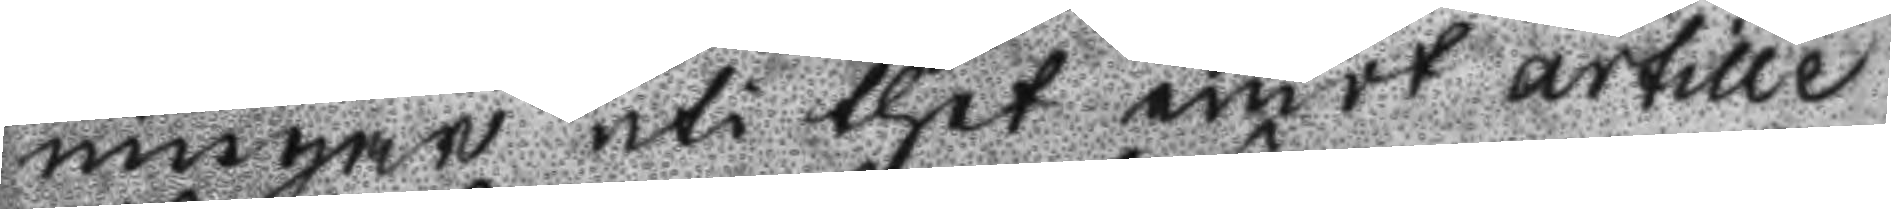ningar uti thet emot artille
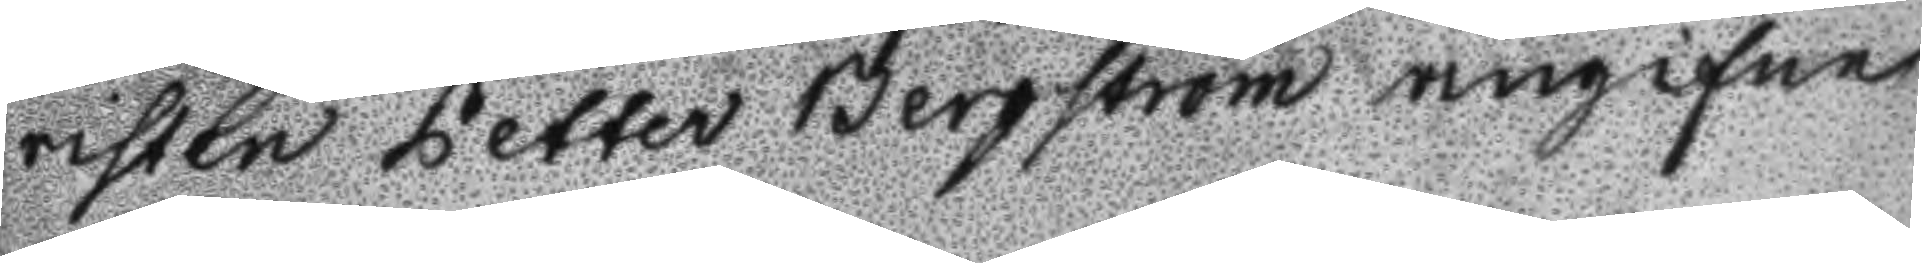risten Petter Bergström angifne
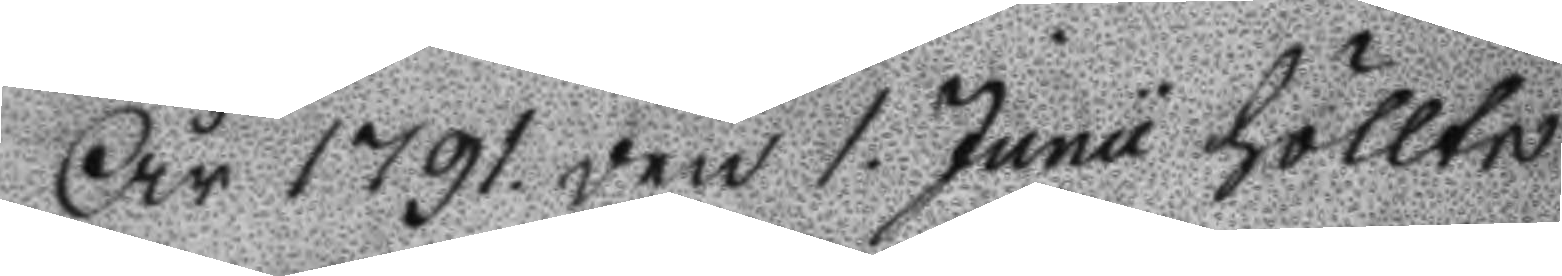År 1791. den 1. Junu höllts
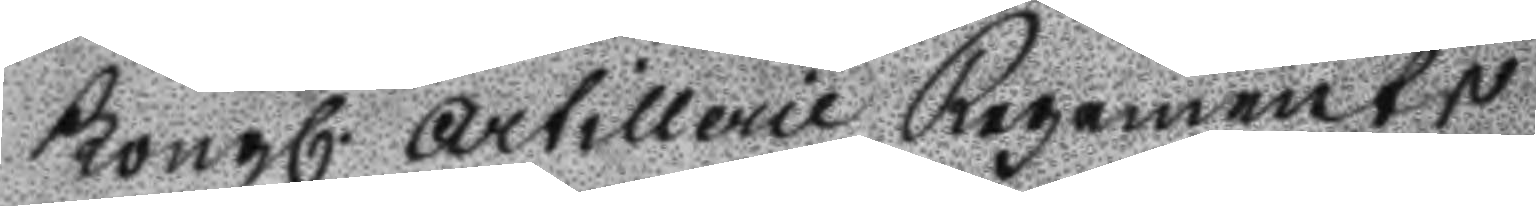Kongl. artillerie Regements
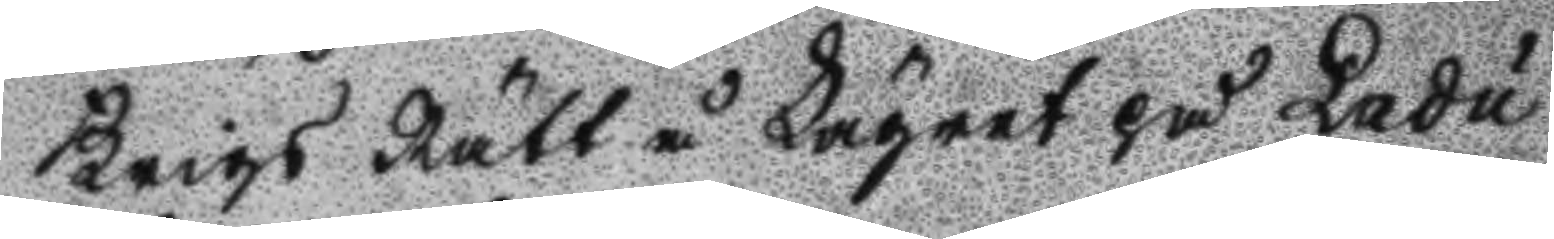Krigs Rätt å Lägret på Ladu
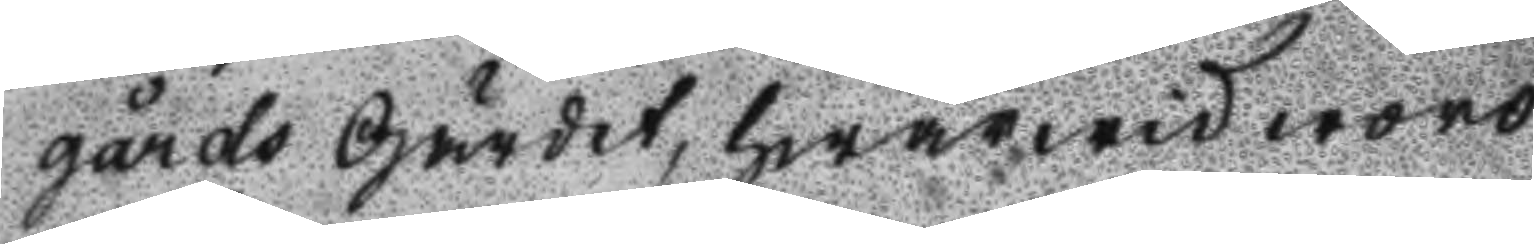gårds Gärdet, hwarwid woro
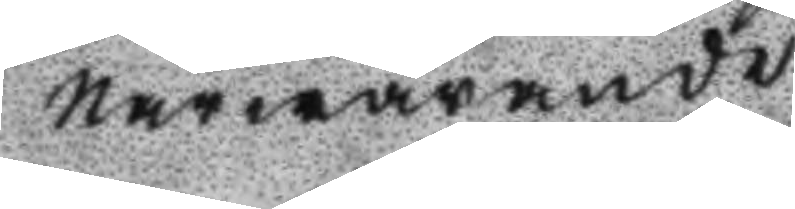närwarande
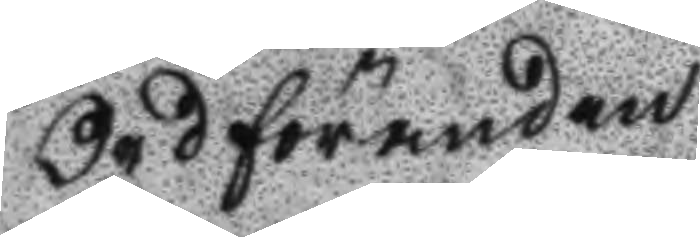Ordföranden
